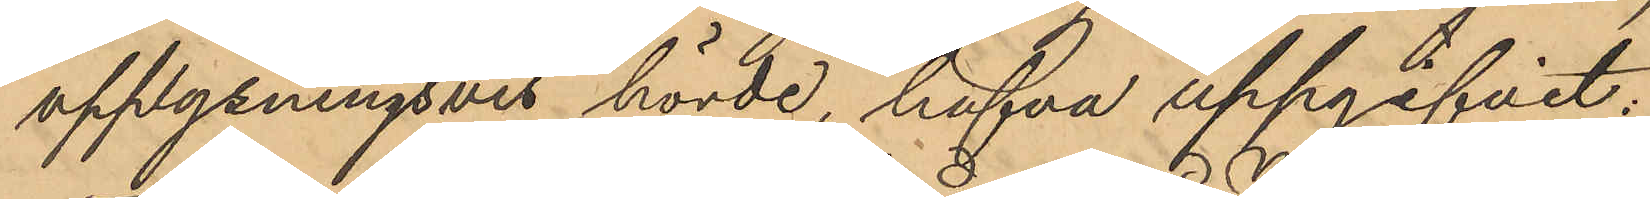upplysningsvis hörde, hafva uppgifvit:
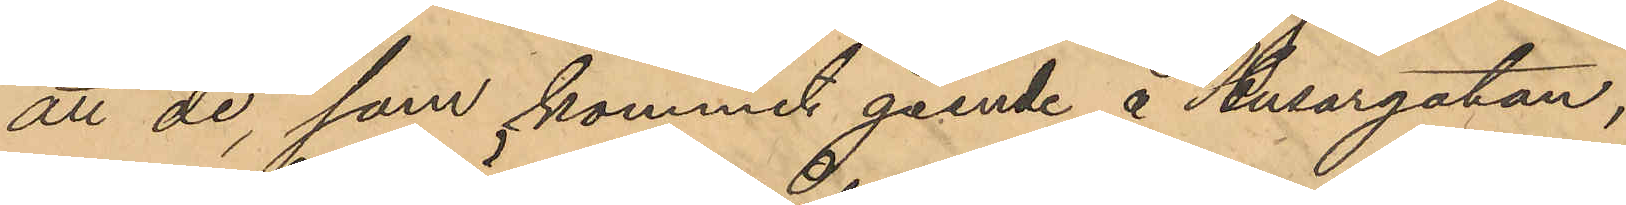att de, som kommit gående å Husargatan,
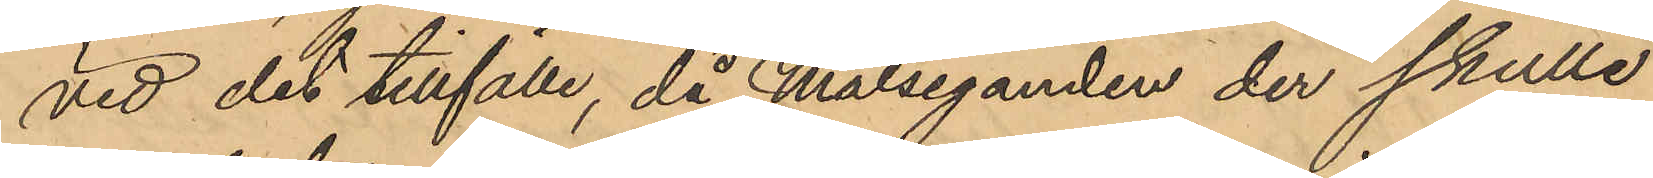vid det tillfälle, då Målseganden der skulle
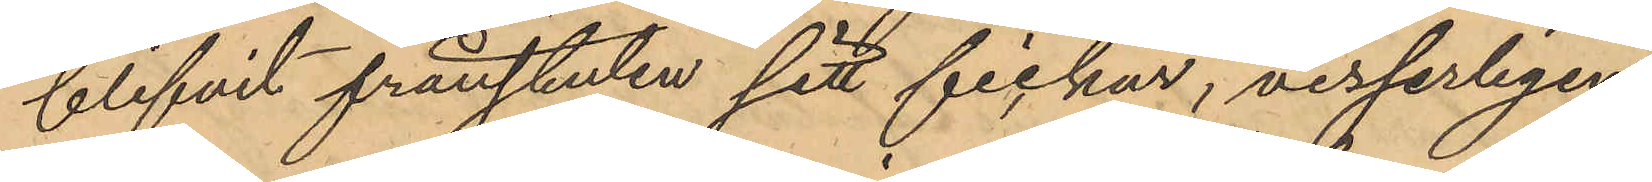blifvit frånstulen sitt fickur, visserligen
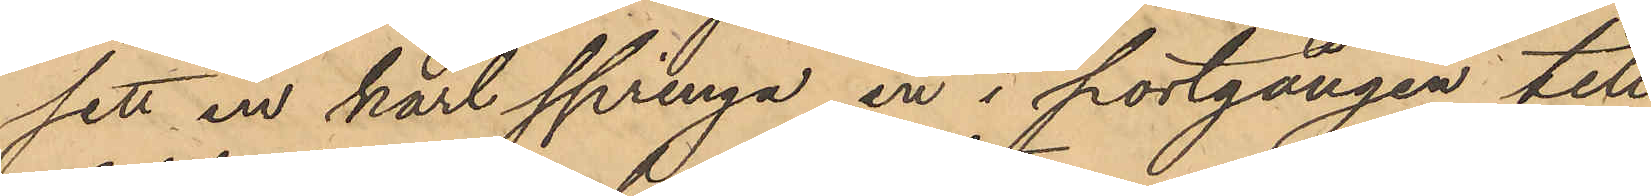sett en karl springa in i portgången till
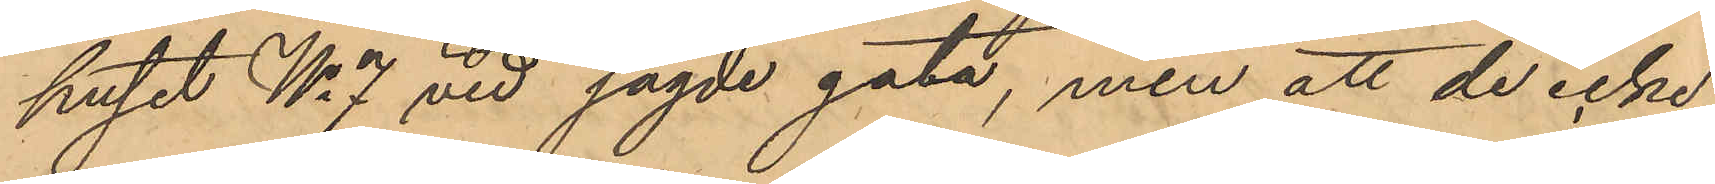huset No 7 vid sagde gata, men att de icke
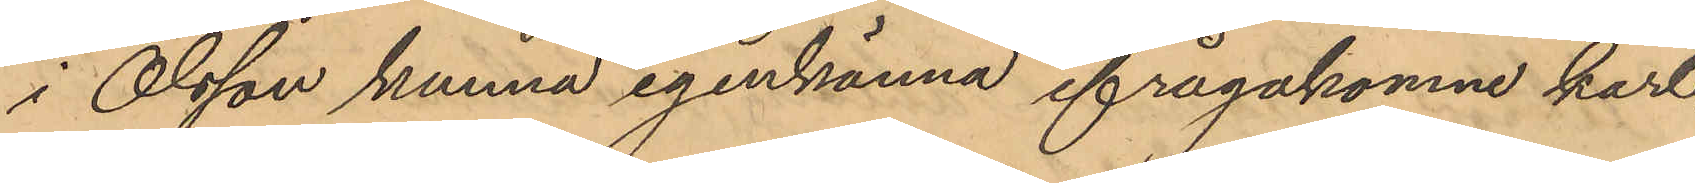i Olsson kunna igenkänna ifrågakomne karl.
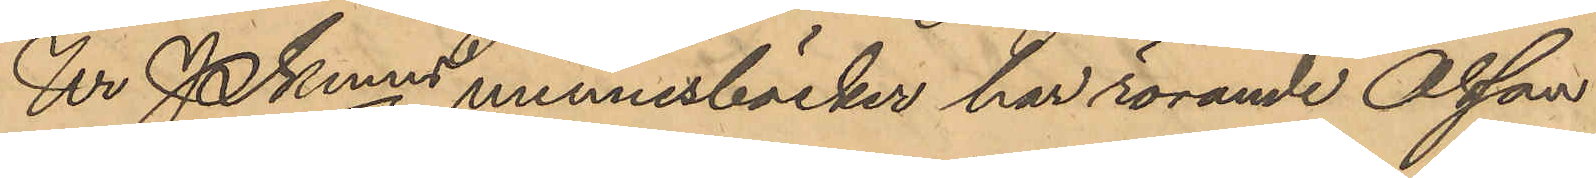Ur PKmns minnesböcker har rörande Olsson
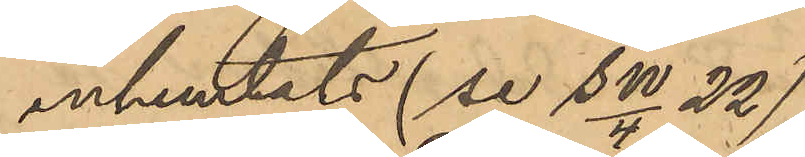inhemtats (se SW/4 22)
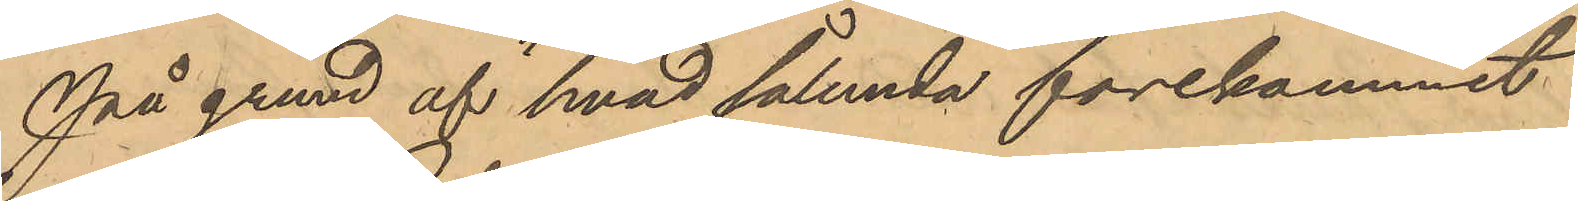På grund af hvad sålunda förekommit
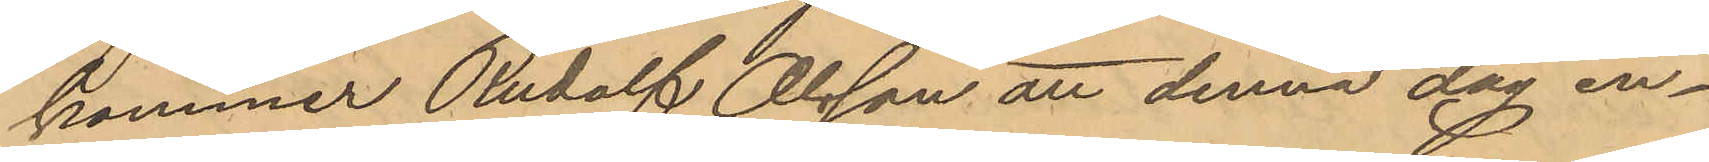kommer Rudolf Olsson att denna dag in¬
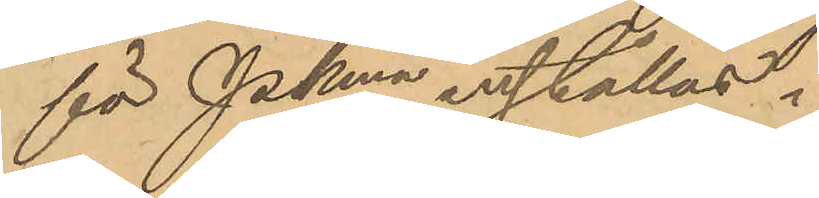för Pkmn inställas.
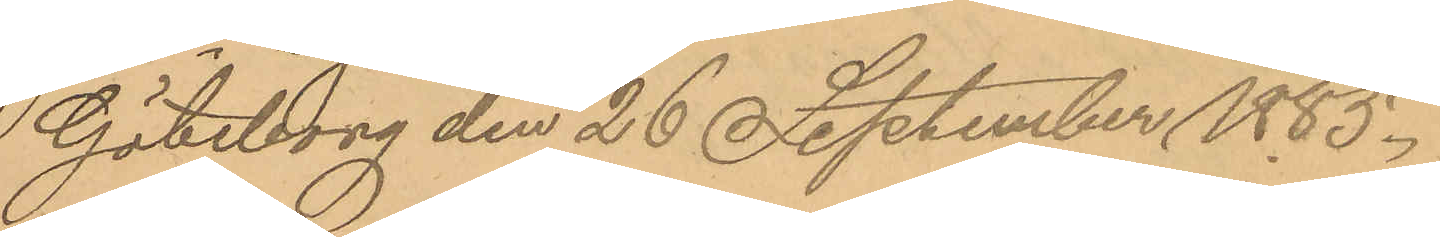Göteborg den 26 September 1885.
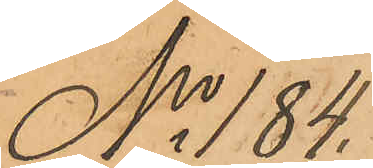No 184.
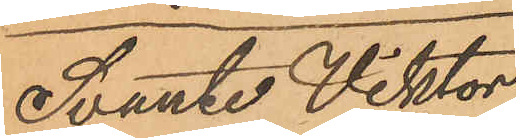Svante Viktor
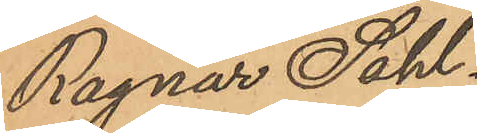Ragnar Sahl¬
